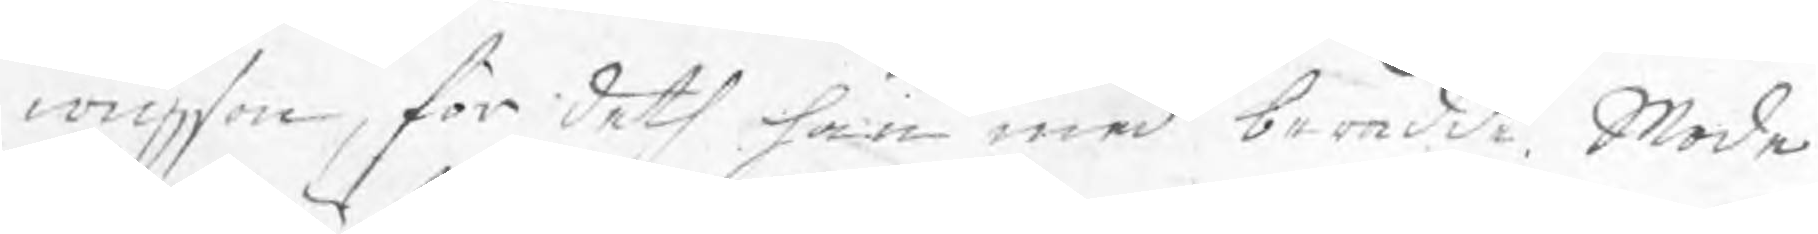wigson, för deth han med berådde Mode
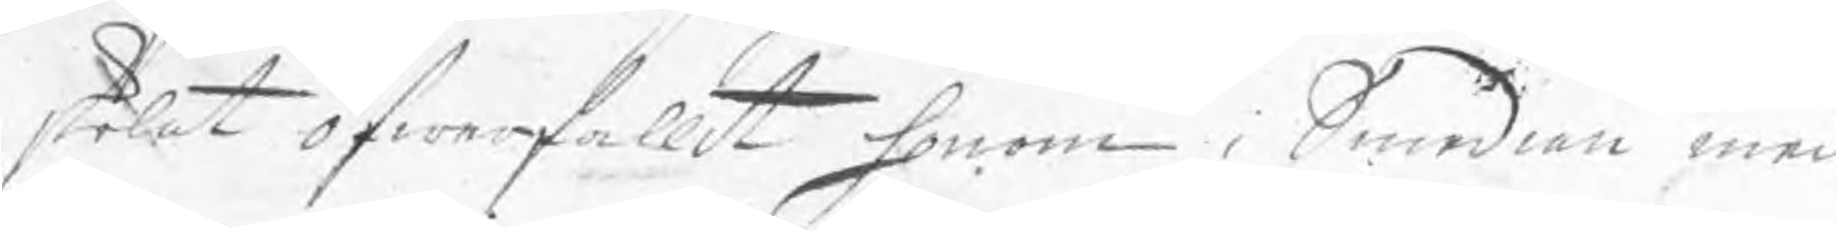skolat öfwerfallit honom i Smedian med
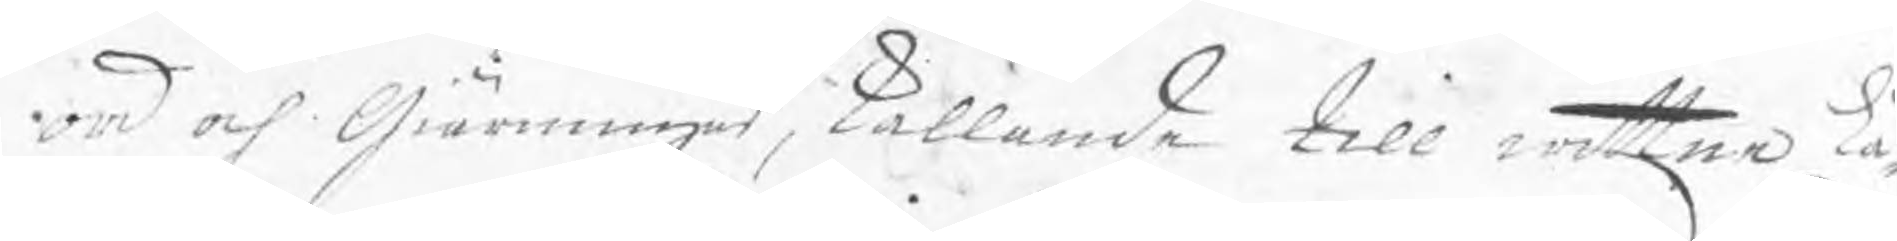ord och Gärningar, kallande till wittne Lä¬
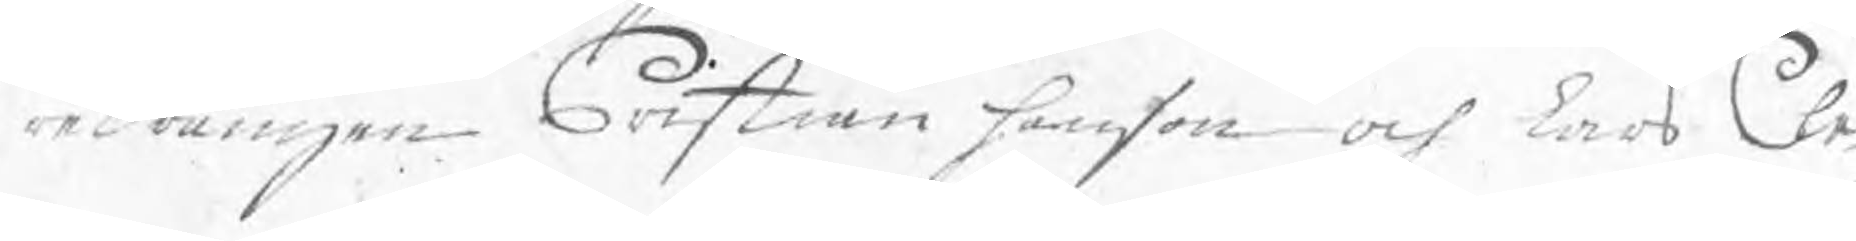redrängen Cristian Hanson och Lars Cle¬
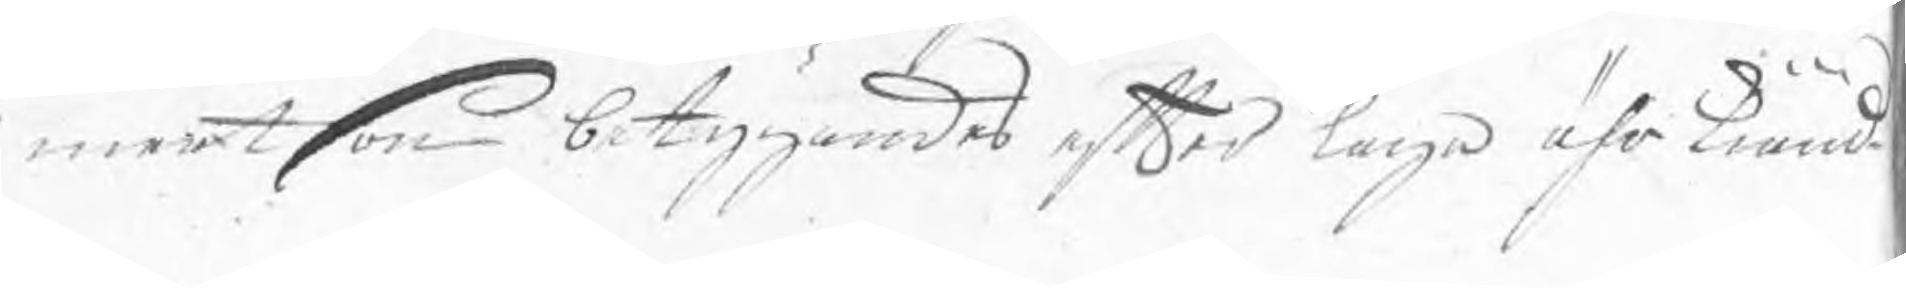mertson betygandes efter laga ährkiänd
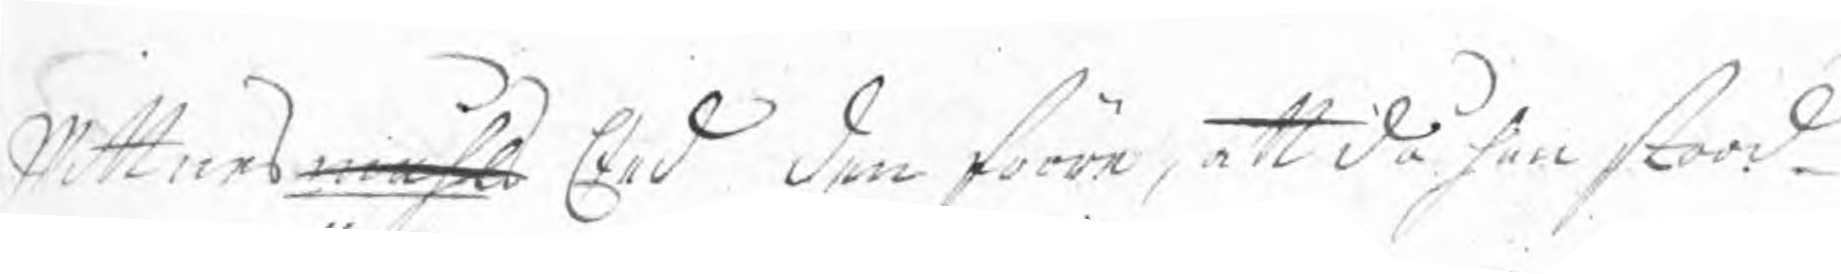Wittnesmåhl Eed den förre, att då han stood
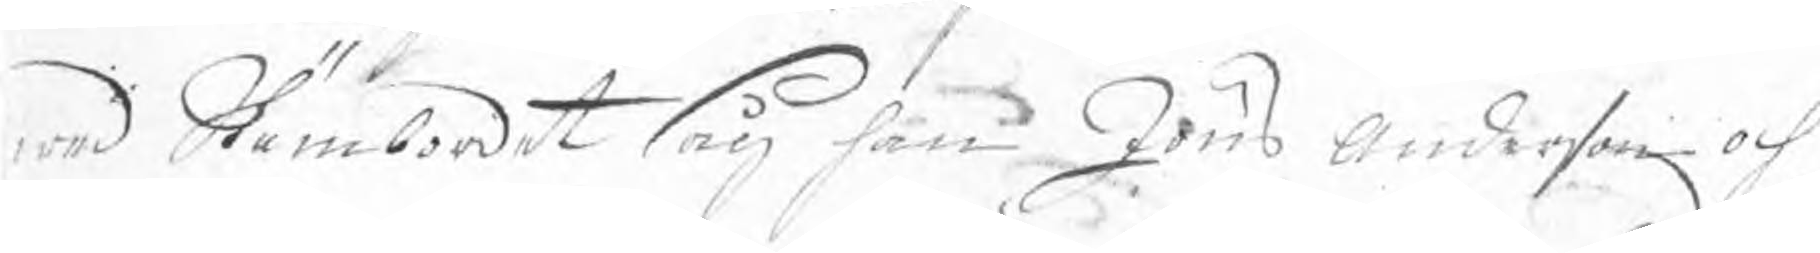wed Stämbordet såg han Jöns Anderson och
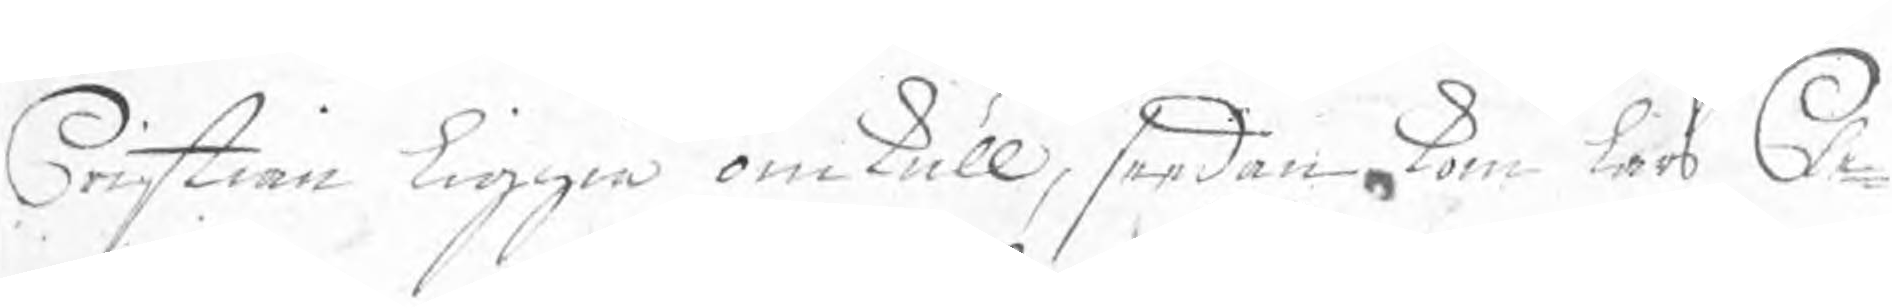Cristian liggia omkull, seedan kom Lars Cle¬
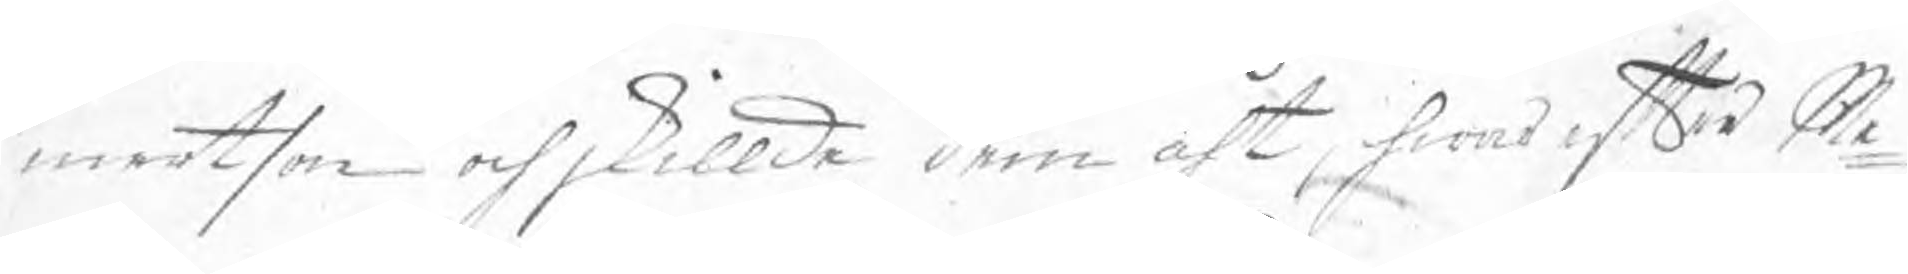mertson och skillde dem åth, hwarefter Me¬
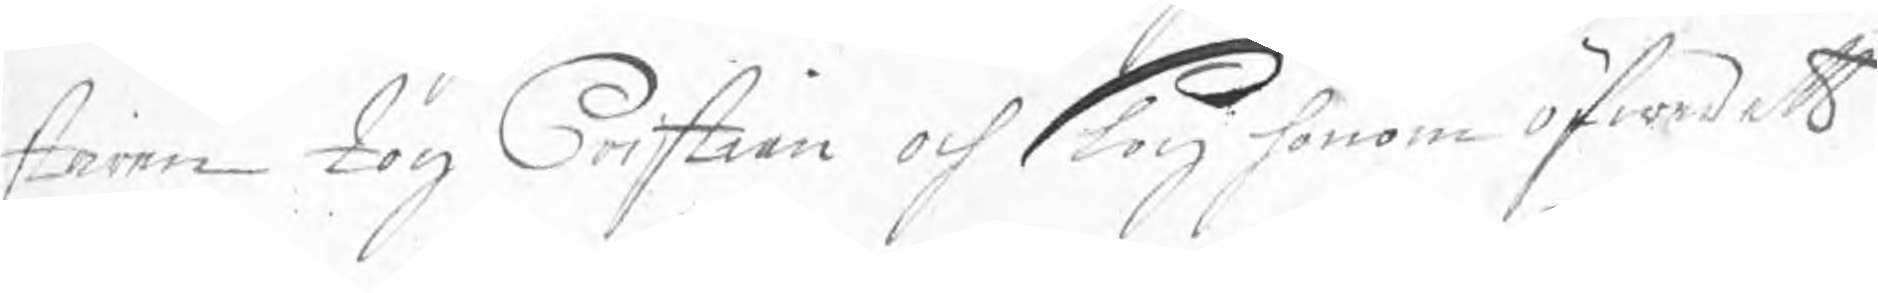staren tog Cristian och slog honom öfwer ett
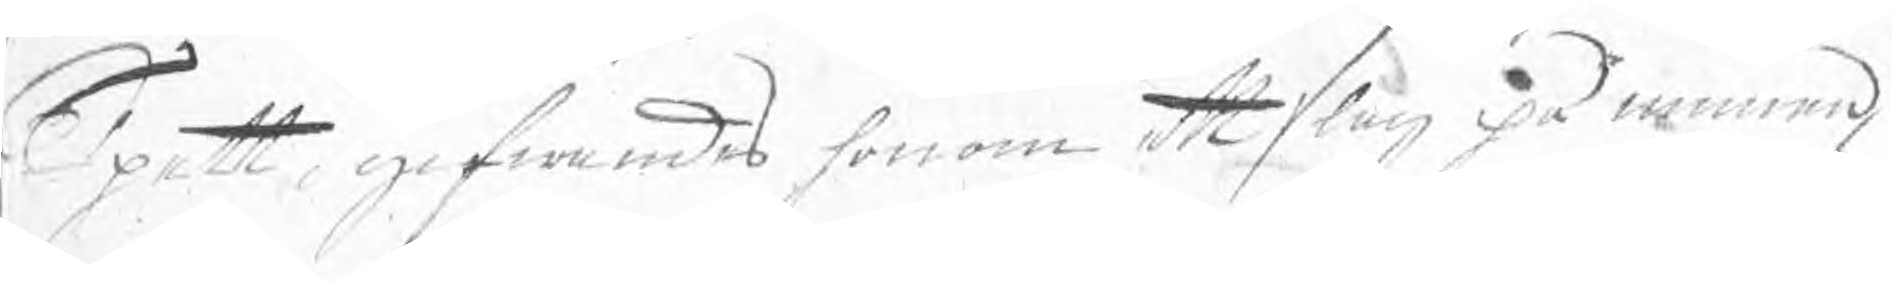Spett, gifwandes honom ett slag på munnen,
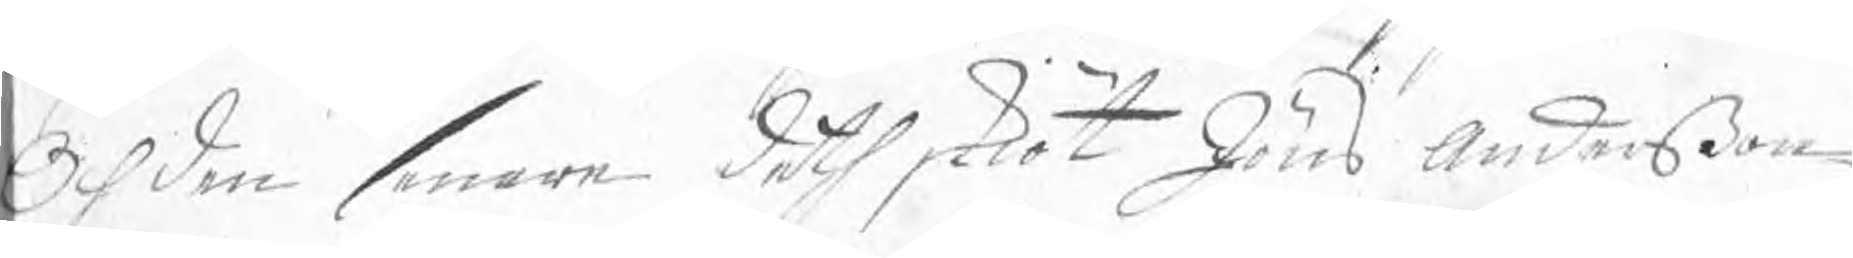Och den senare deth skiöt Jöns Anderßon
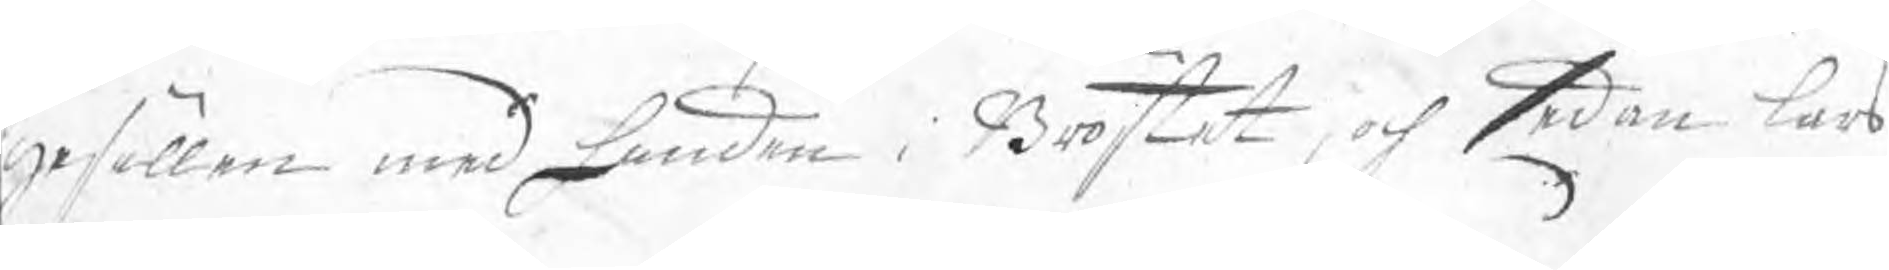gesällen med handen i Bröstet, och sedan Lars
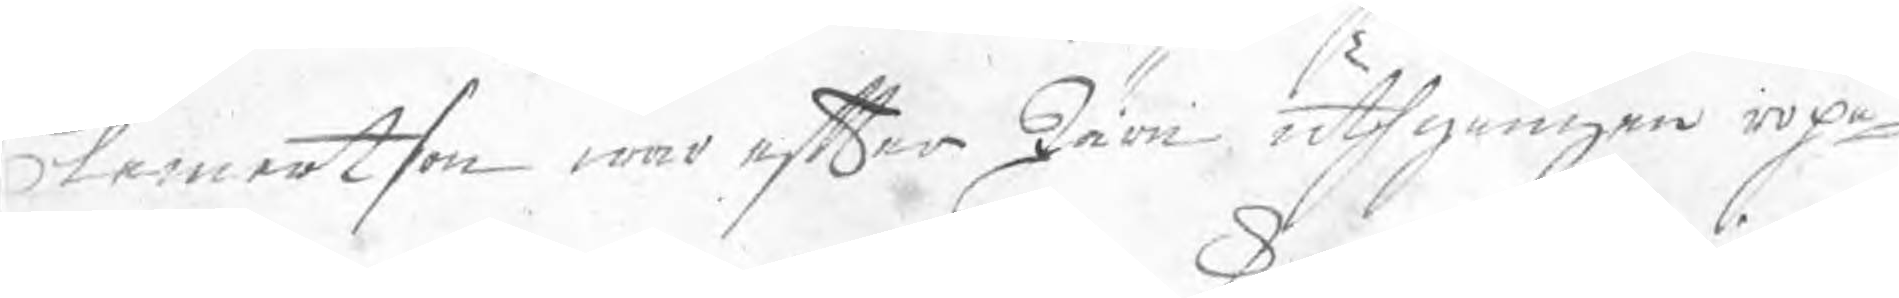Clemertson war efter Järn uthgången ropa¬
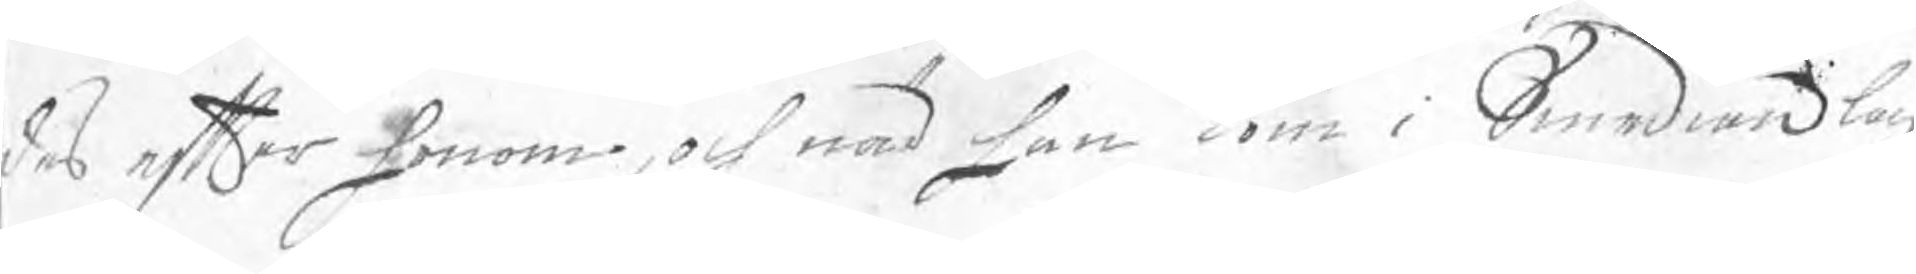des efter honom, och när han kom i Smedian låg
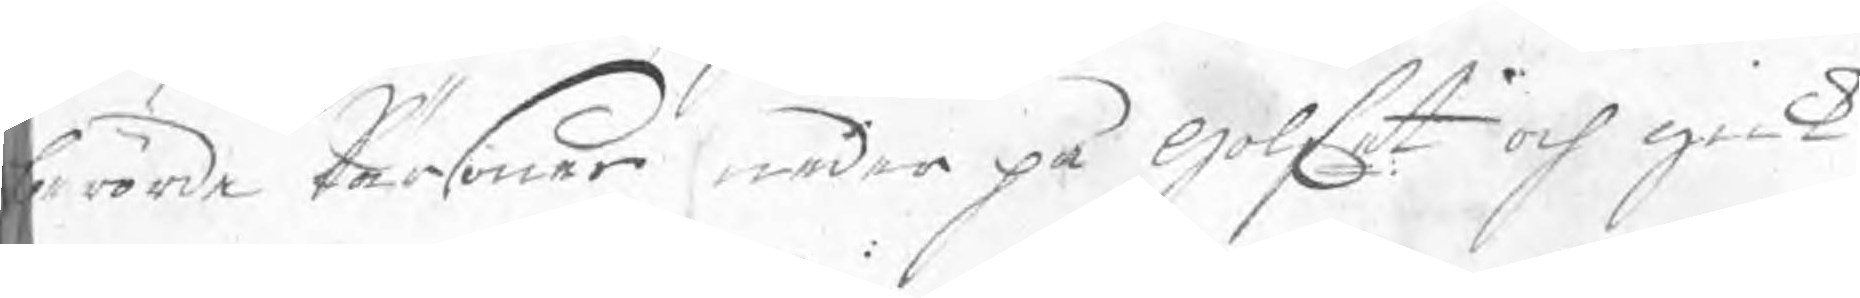berörde Pärsoner neder på Golfet och gick
